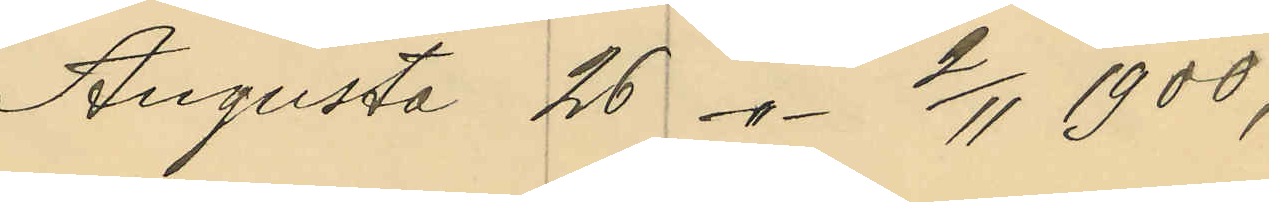Augusta 26 -"- 2/11 1900;
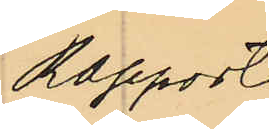Rapport
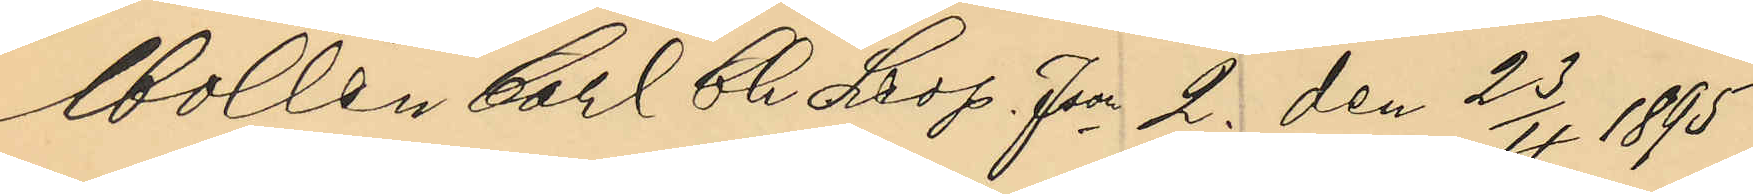Mollén Carl Ch Leop. Json 2. den 23/4 1895;
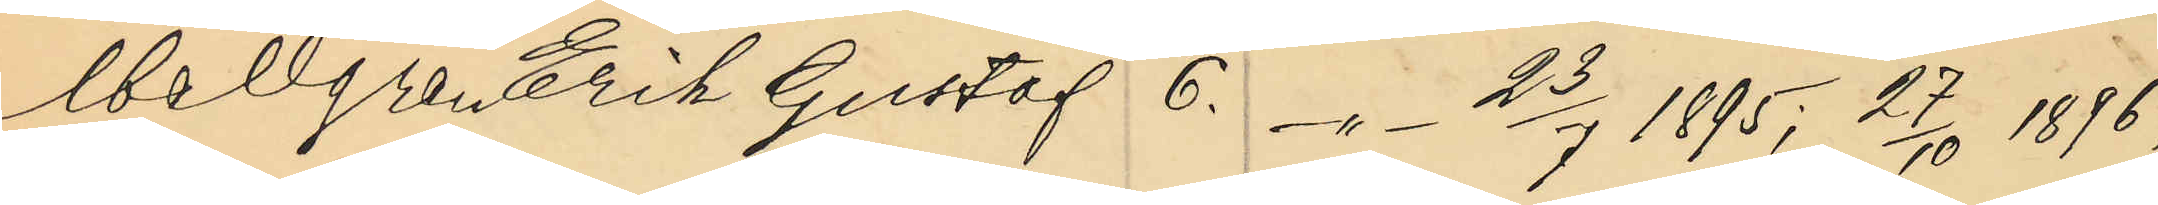Mellgren Erik Gustaf 6. -"- 23/7 1895; 27/10 1896;
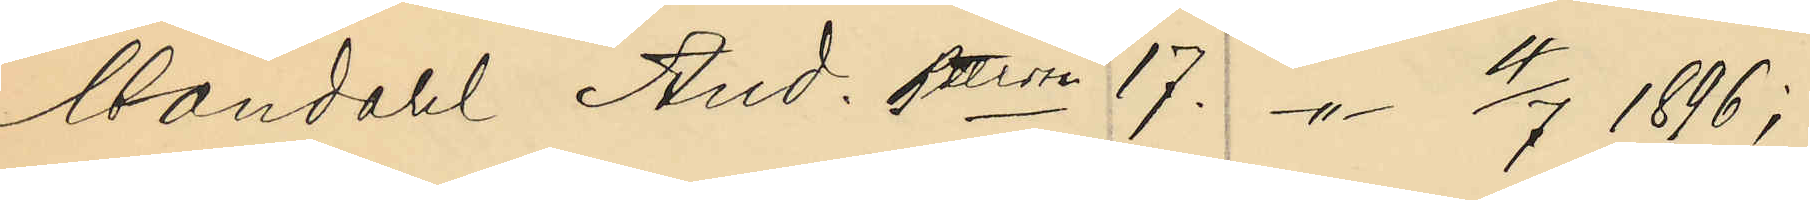Mandahl And. Pettersson 17. -"- 4/7 1896;
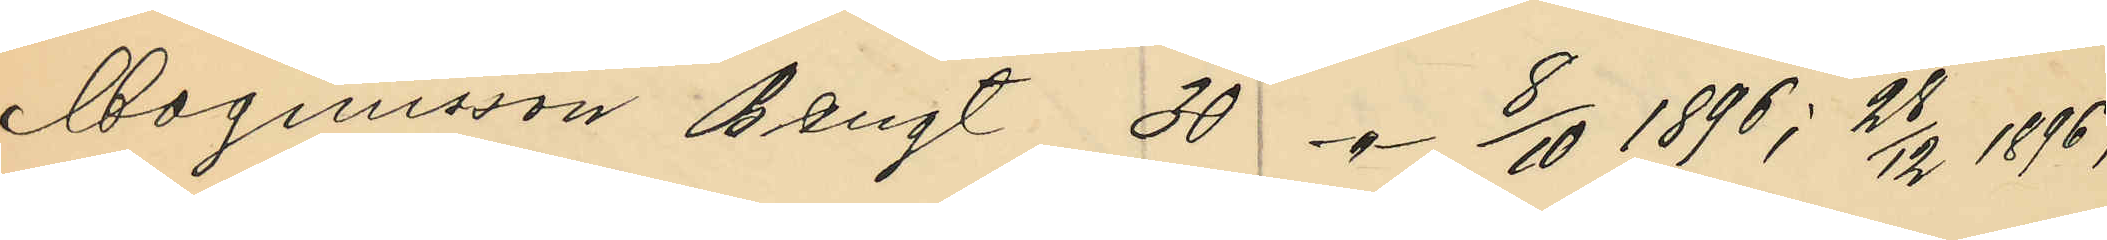Magnusson Bengt 30 -"- 8/10 1896; 28/12 1896;
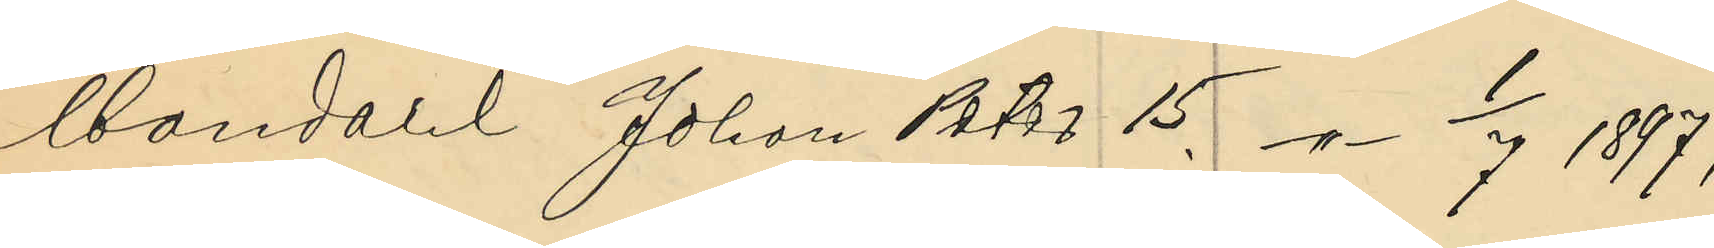Mandahl Johan Peter 15. -"- 1/7 1897;
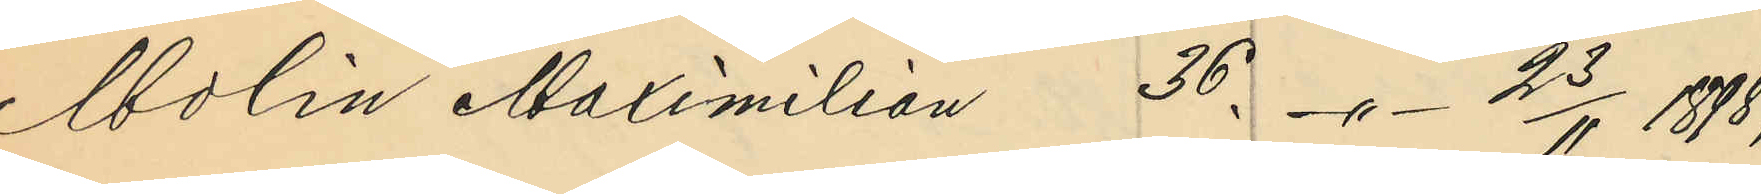Molin Maximilian 36. -"- 23/11 1898;
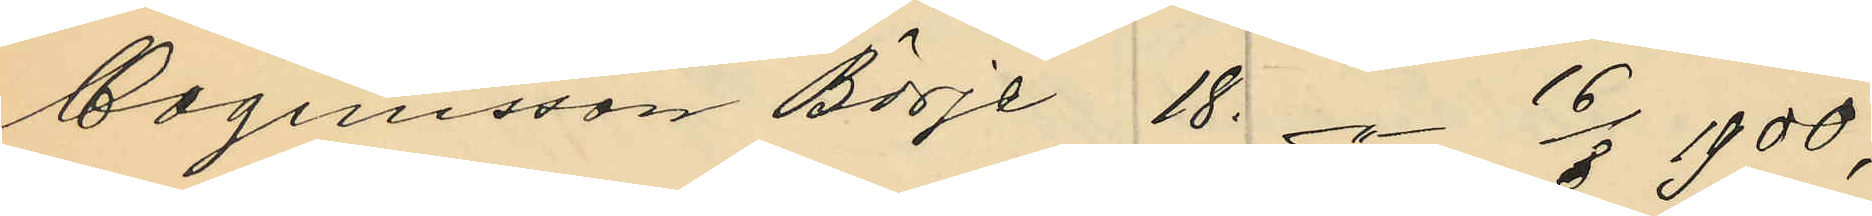Magnusson Börje 18. -"- 16/8 1900;
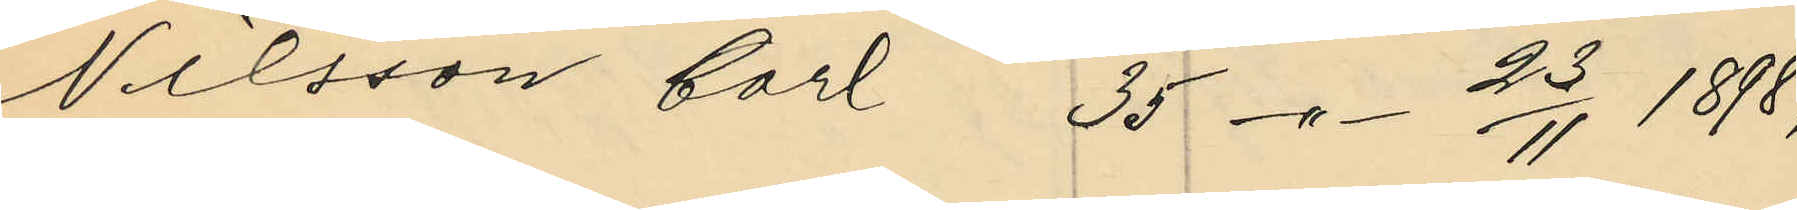Nilsson Carl 35 -"- 23/11 1898;
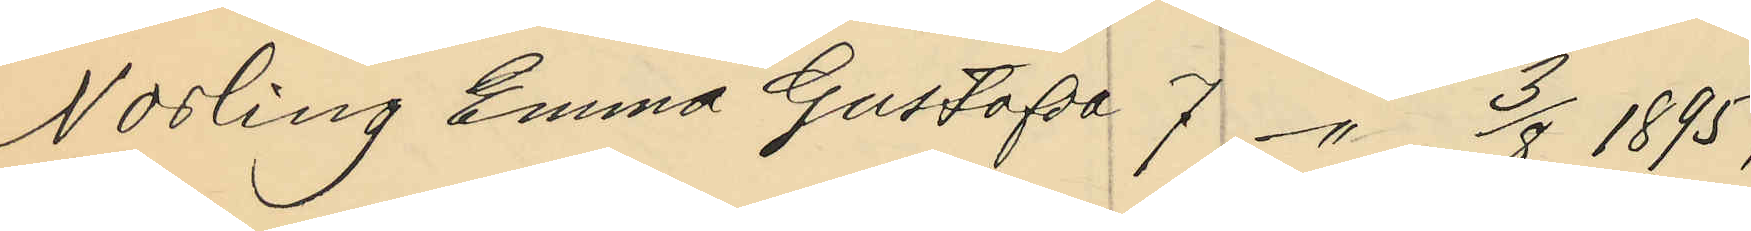Norling Emma Gustafva 7 -"- 3/8 1895;
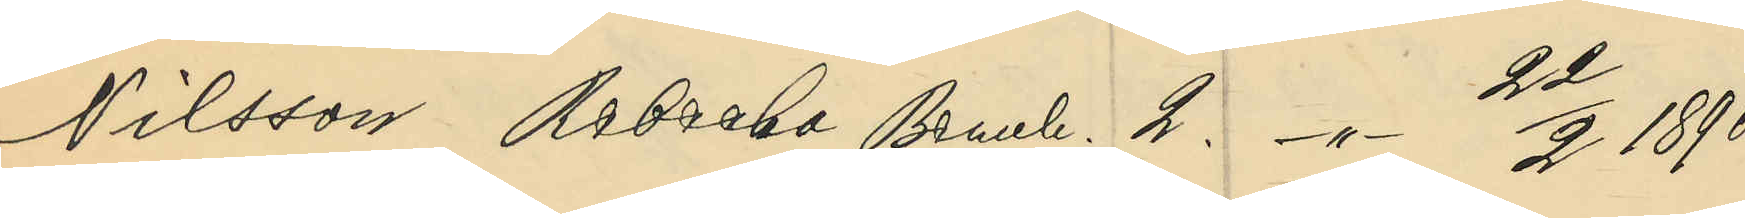Nilsson Rebecka Bernh. 2. 22/2 1896;
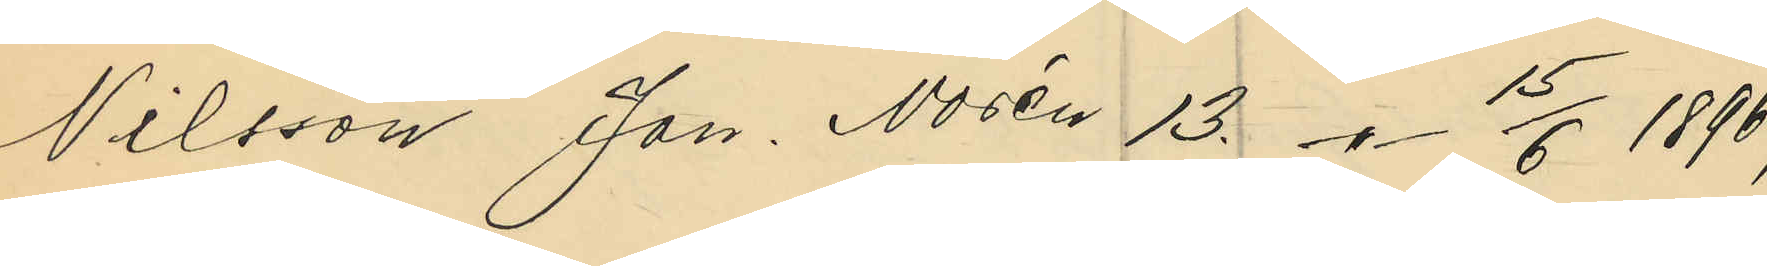Nilsson Jan. Norén 13. -"- 15/6 1896;
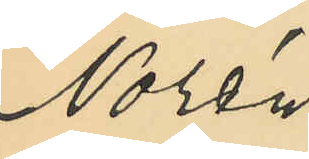Norén
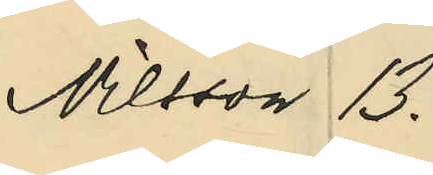Nilsson 13.
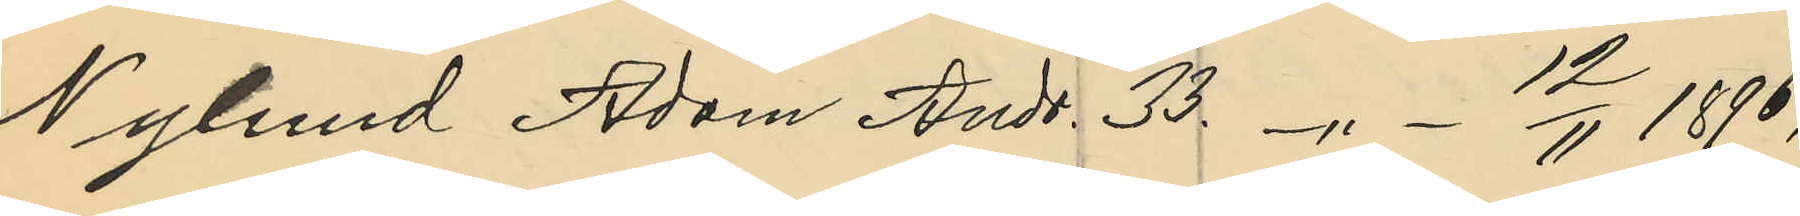Nylund Adam Andr. 33. -"- 12/11 1896;
